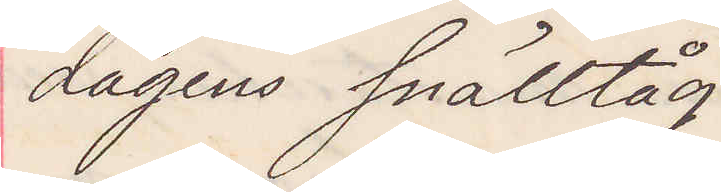dagens snälltåg
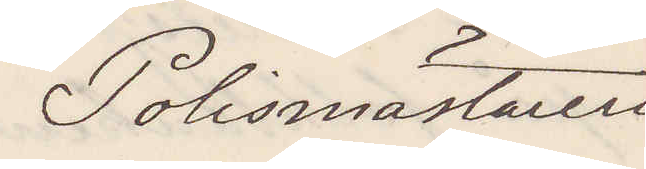Polismästaren
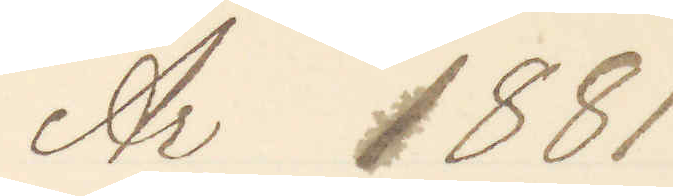År 1881
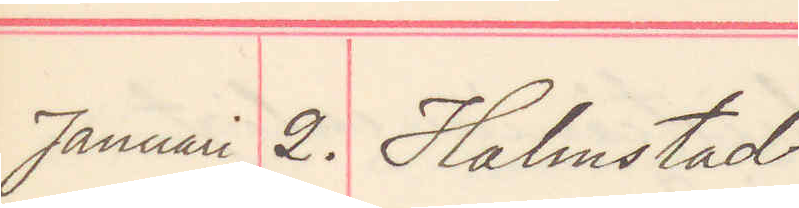Januari 2. Halmstad
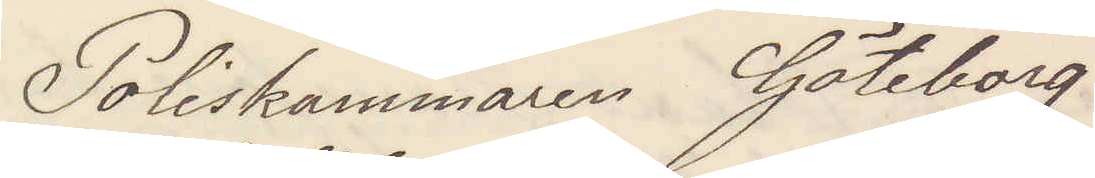Poliskammaren Göteborg
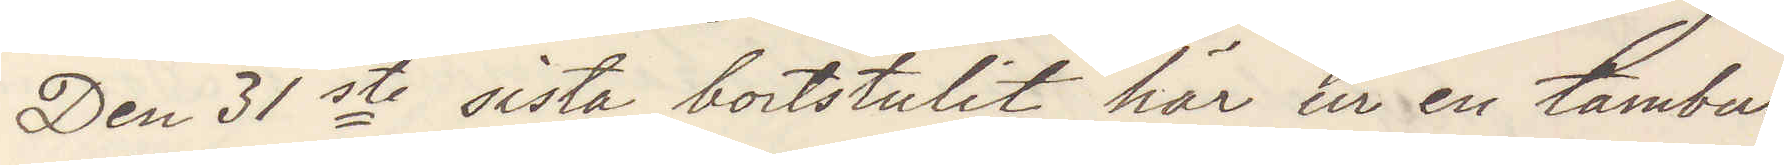Den 31ste sista bortstulit ur en tambur
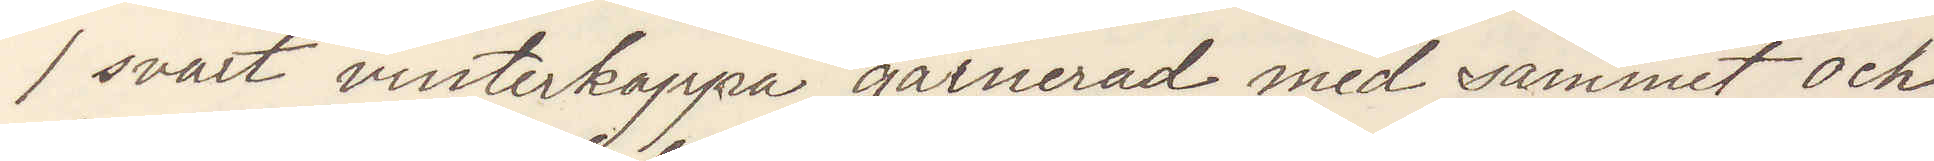1 svart vinterkappa garnerad med sammet och
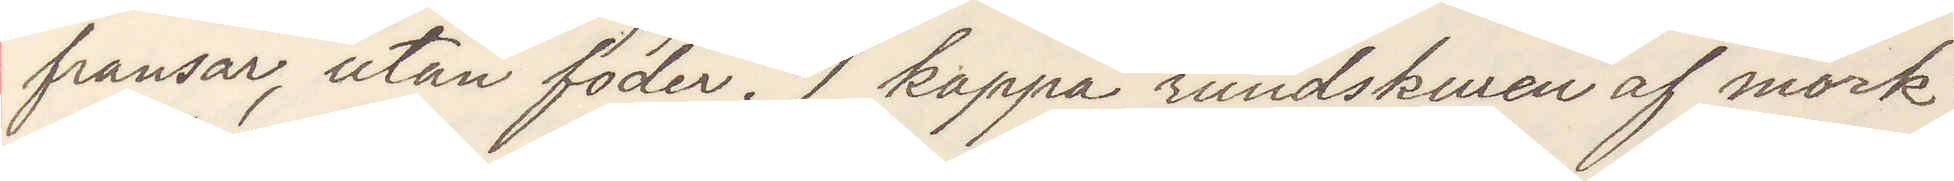fransar, utan foder. 1 kappa rundskuren af mörk¬
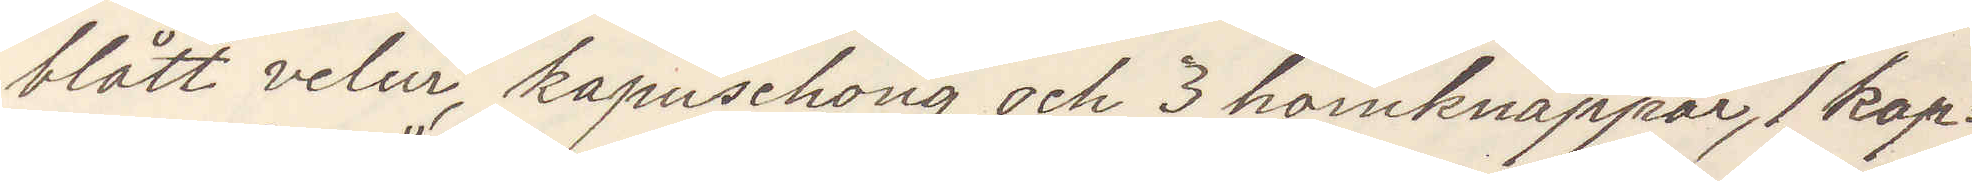blått velur, kapuschong och 3 hornknappar, 1 kap¬
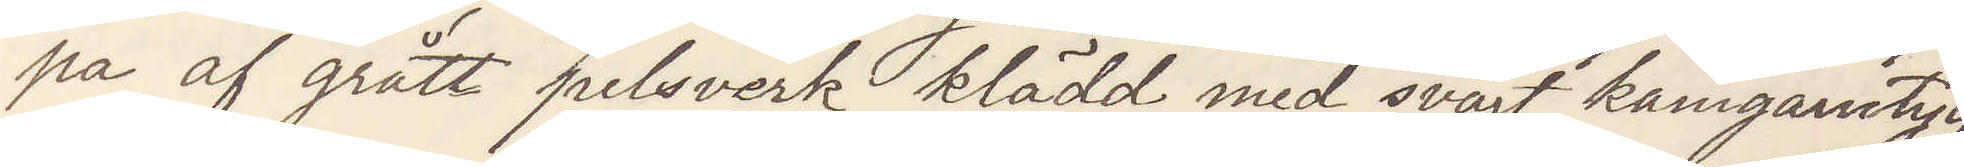pa af grått pelsverk klädd med svart kamgarnstyg
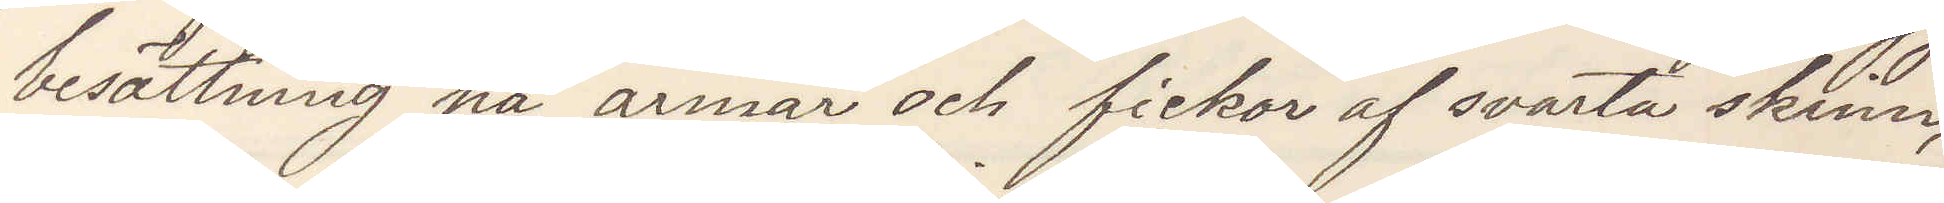besättning på ärmar och fickor af svarta skinn,
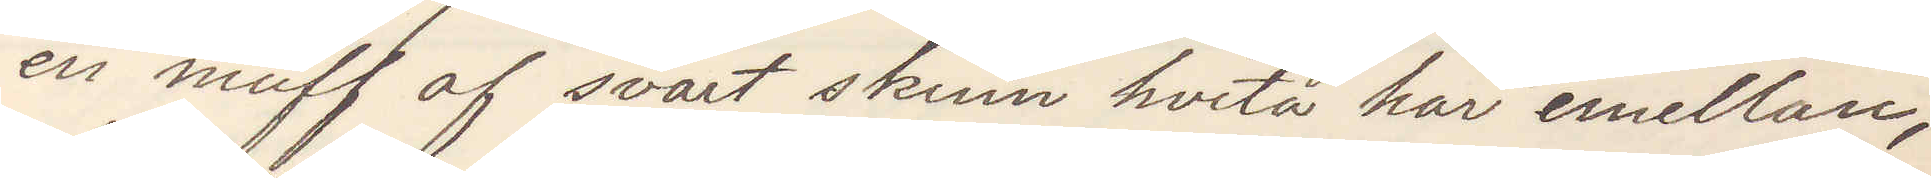en muff af svart skinn hvita hår emellan,
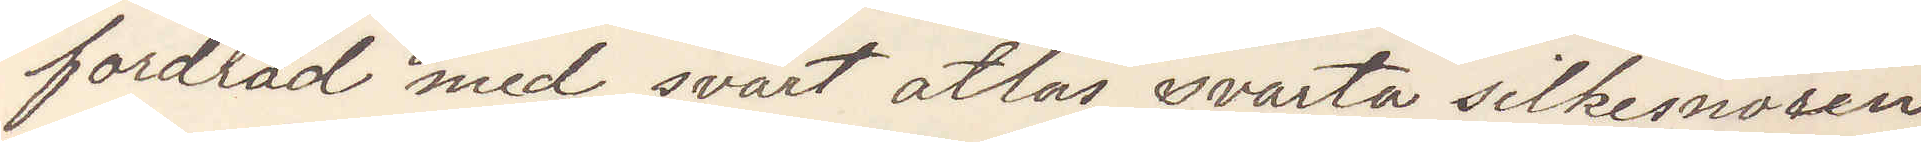fordrad med svart atlas svarta silkesnören
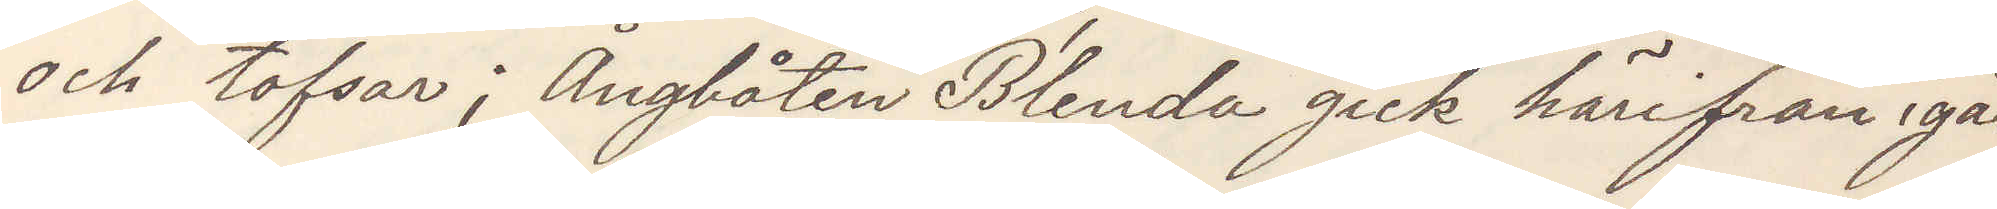och tofsar; Ångbåten Blenda gick härifrån igår
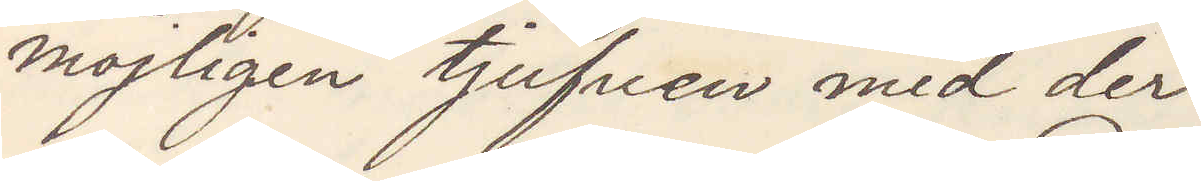möjligen tjufven med der.
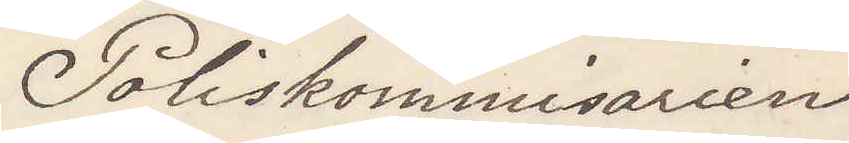Poliskommisarien
